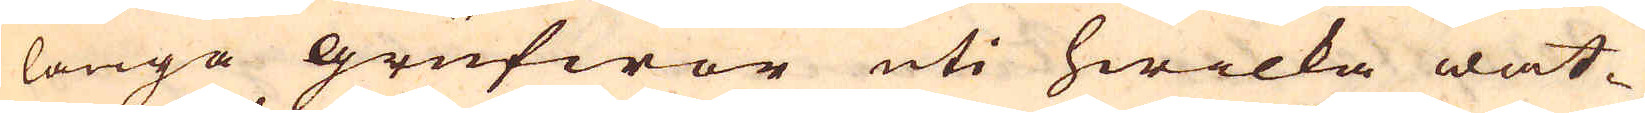långa grufwor uti hwilka wat-
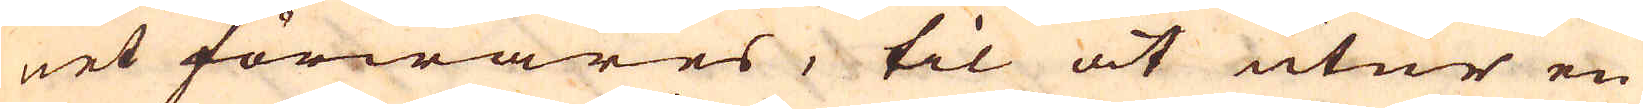net förwares, til at utur en
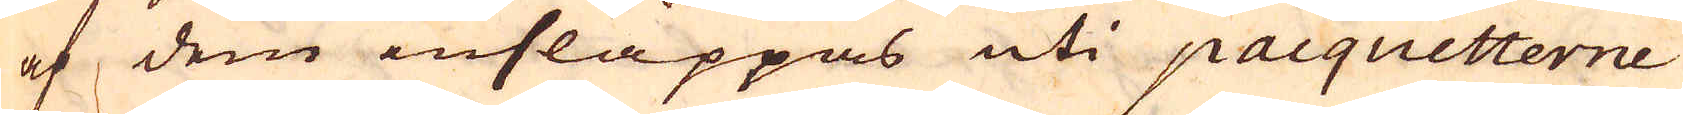af dem insläppas uti pacquetterne
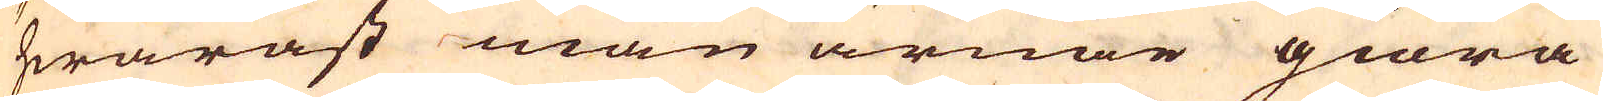hwarast man ärnar giöra
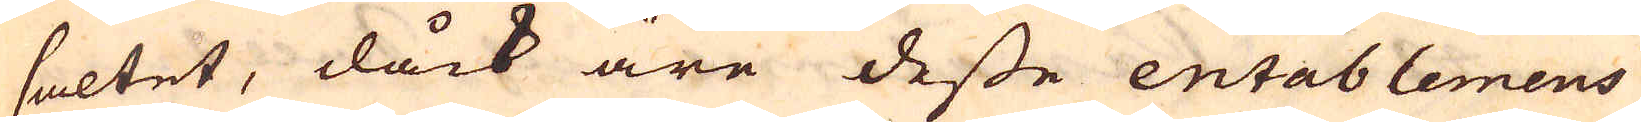saltet, dåck äre desse entablemens
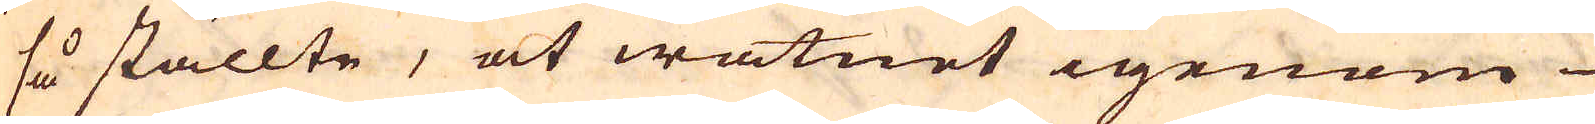så ställte, at watnet igenom
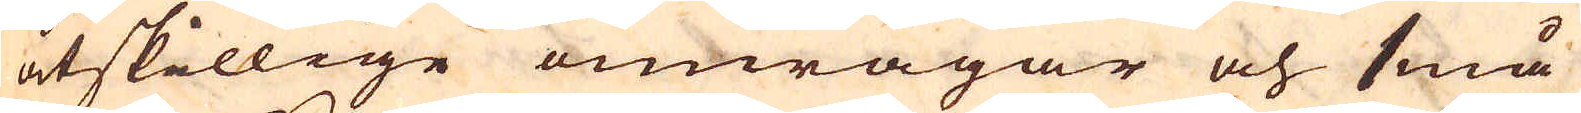åtskillige omwägar och små
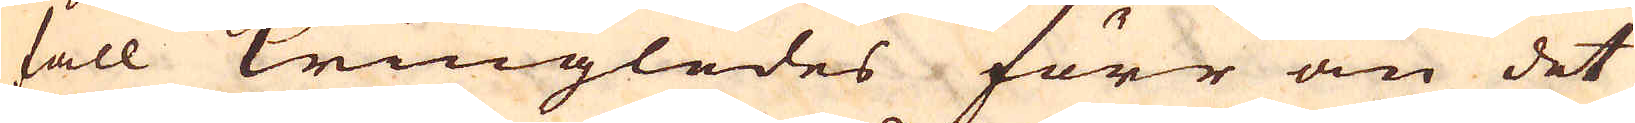fall kringledes förr än det
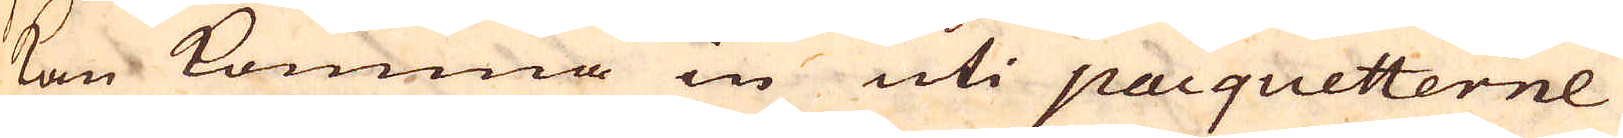kan komma in uti pacquetterne
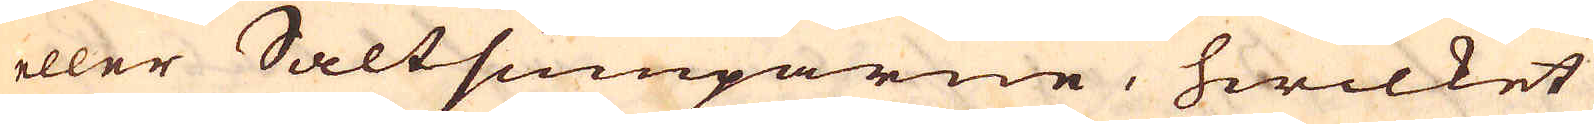eller Saltsumparne, hwilket
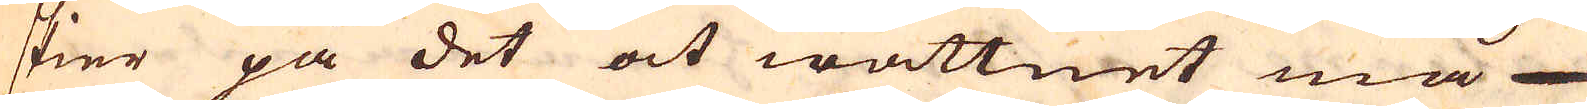skier på det at wattnet må
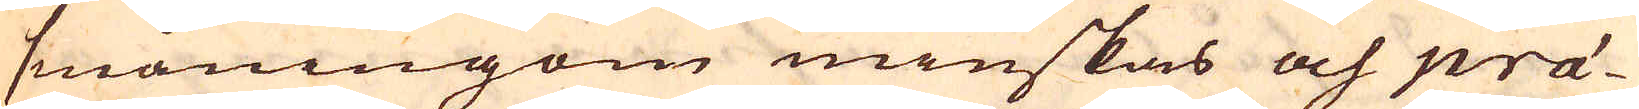småningom minskas och prä-
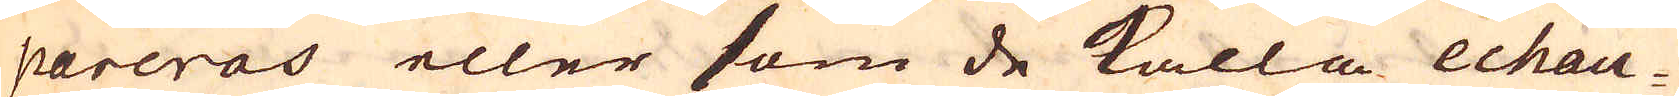pareras eller som de kalla echau-
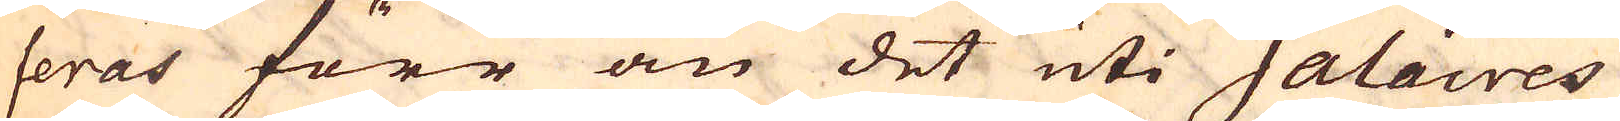feras förr än det uti Salaires
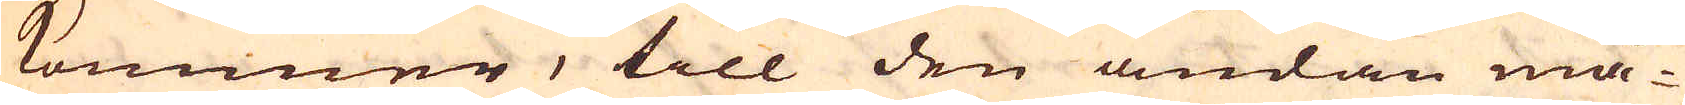kommer, till den ändan må-
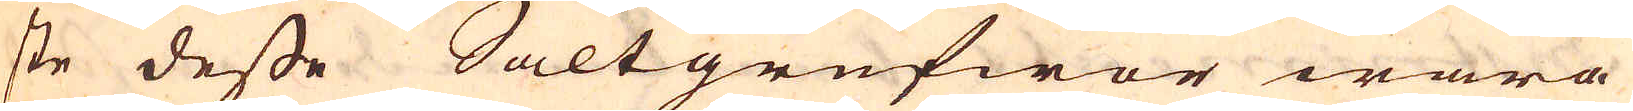ste desse Saltgrufwor wara
